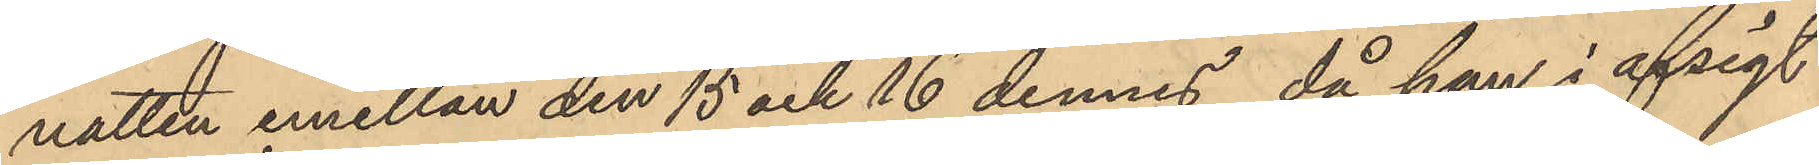natten emellan den 15 och 16 dennes, då han i afsigt
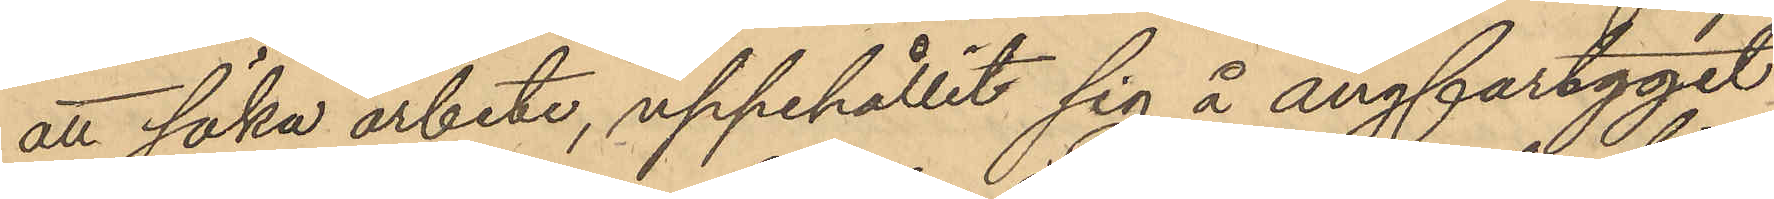att söka arbete, uppehållit sig å ångfartyget
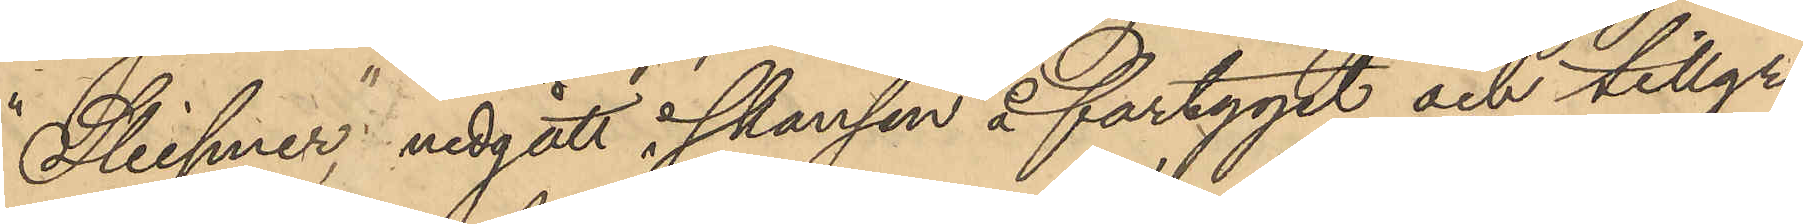"Sleipner"; nedgått i skansen å fartyget och tillgri¬
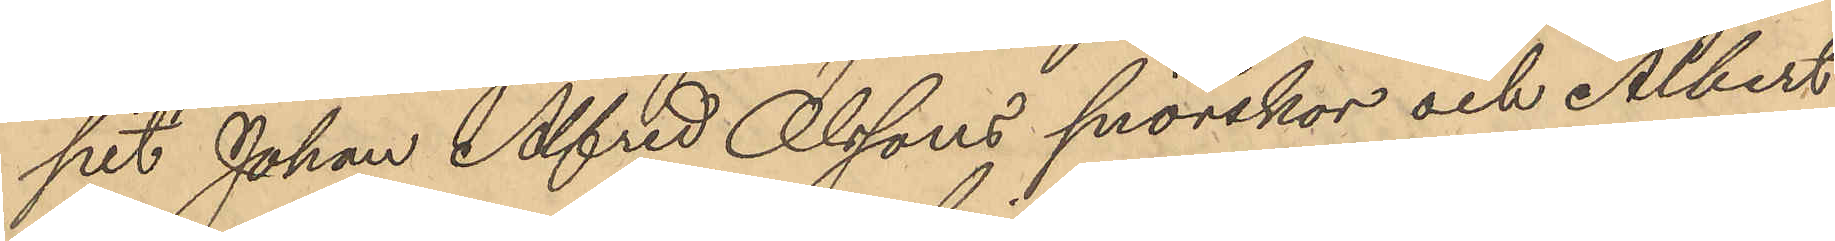pit Johan Alfred Olssons snörskor och Albert
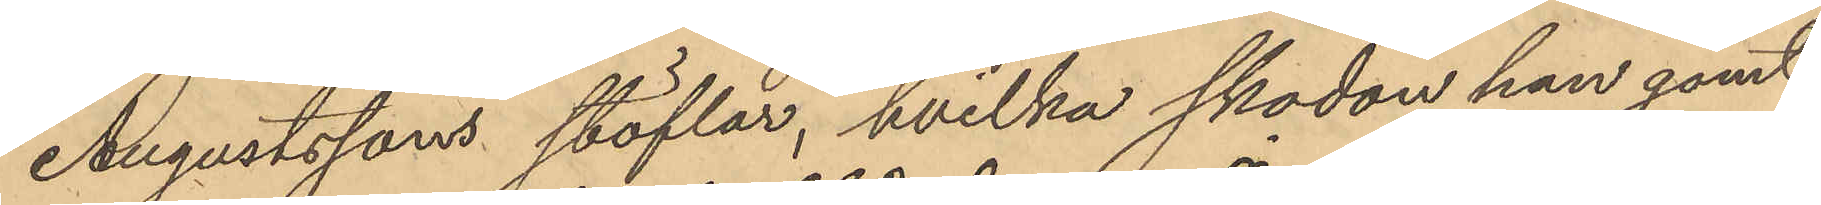Augustssons stöflar, hvilka skodon han gömt
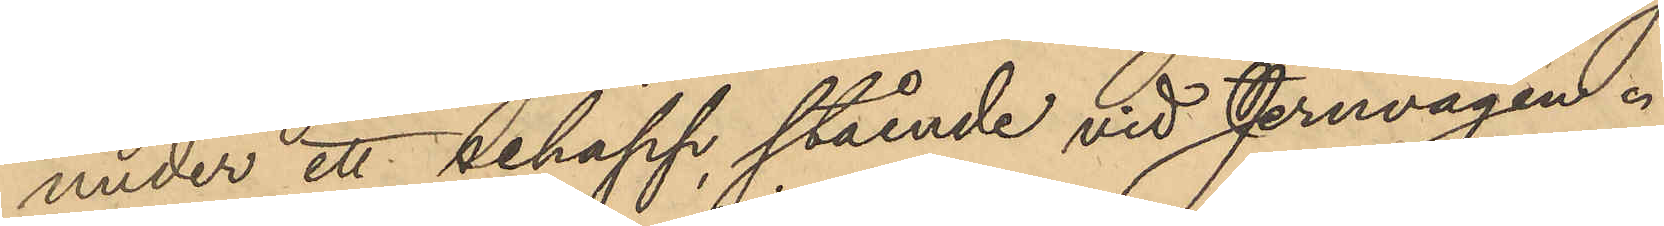under ett schapp, stående vid Jernvågen.
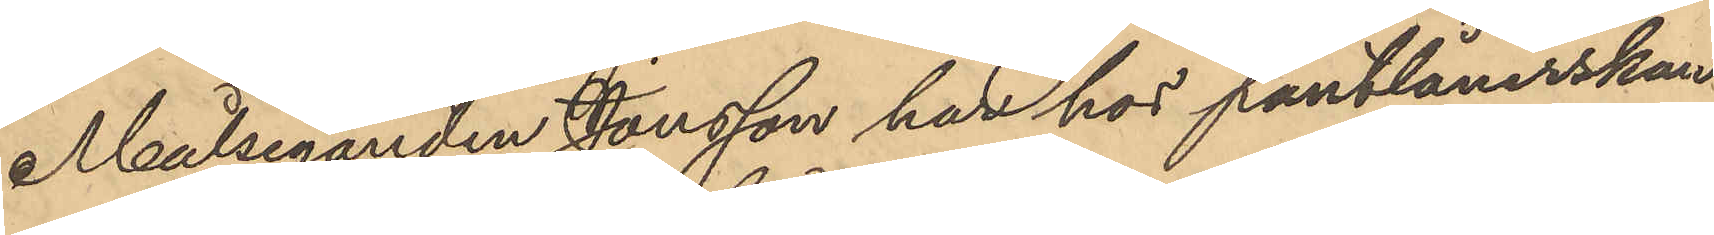Målseganden Jonsson har hos pantlånerskan
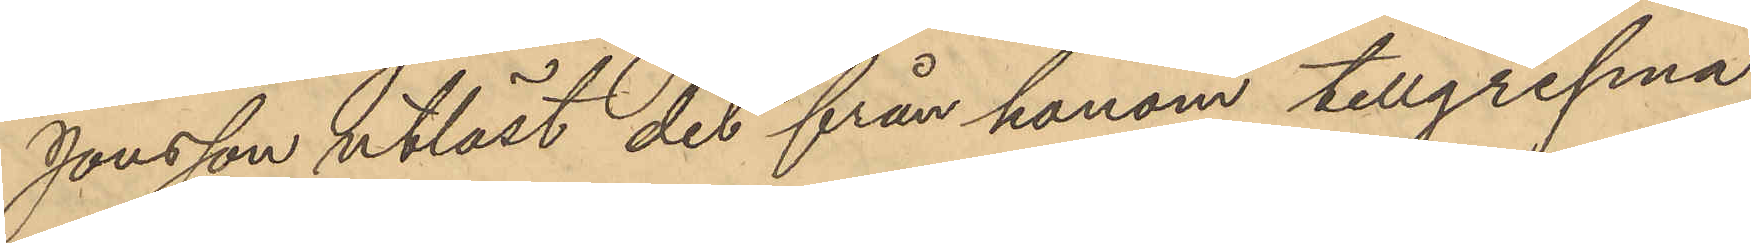Jonsson utlöst det från honom tillgripna
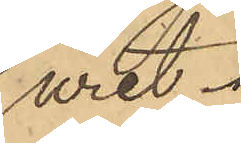uret.
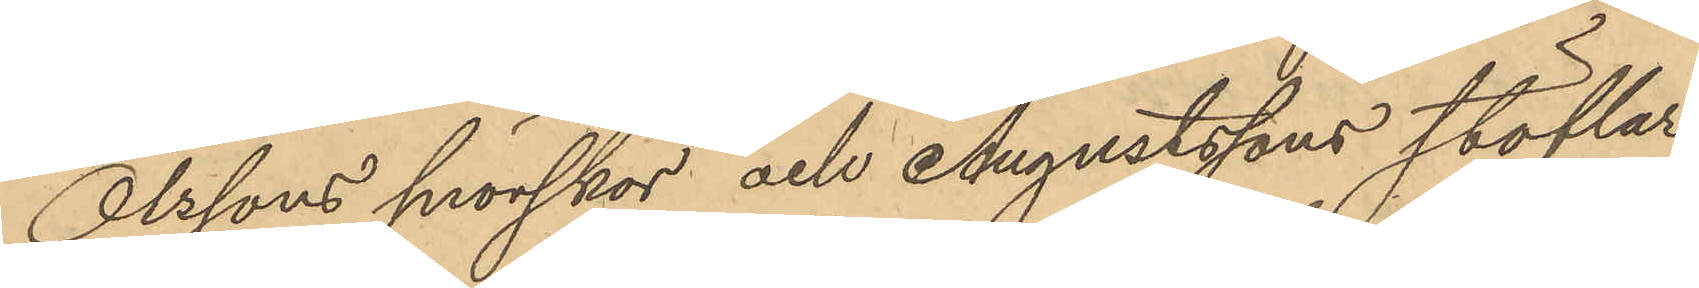Olssons snörskor och Augustssons stöflar
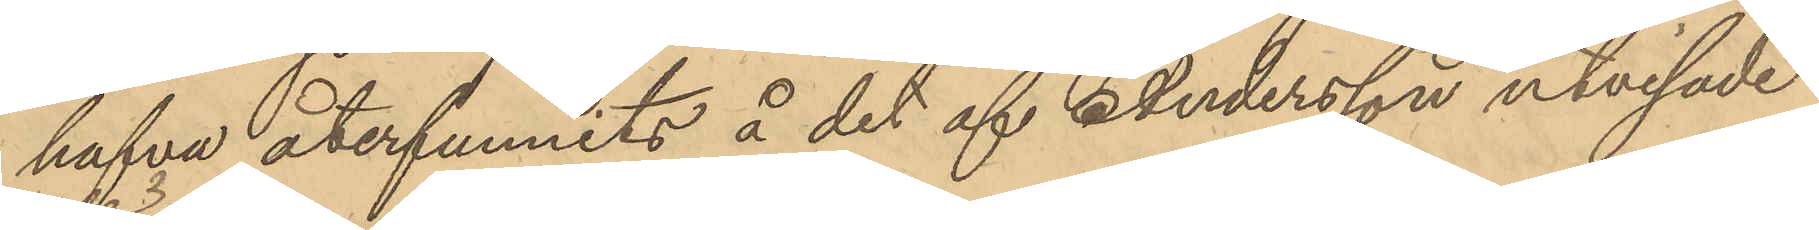hafva återfunnits å det af Andersson utvisade
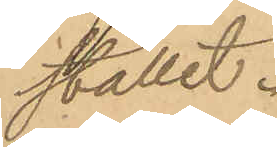stället.
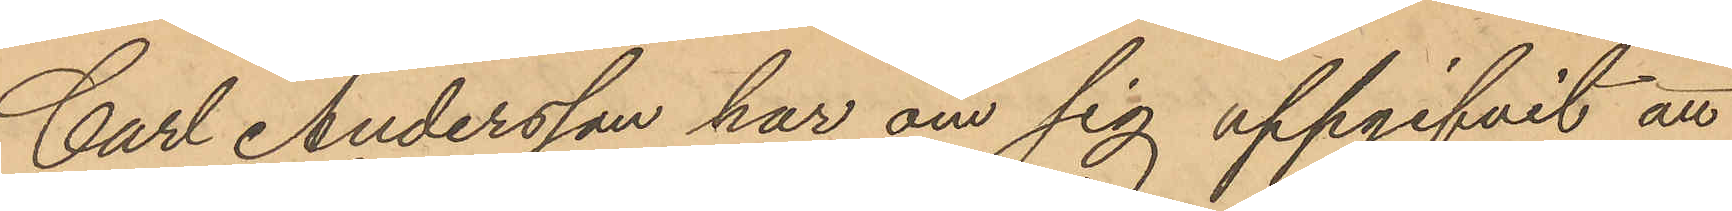Carl Andersson har om sig uppgifvit att
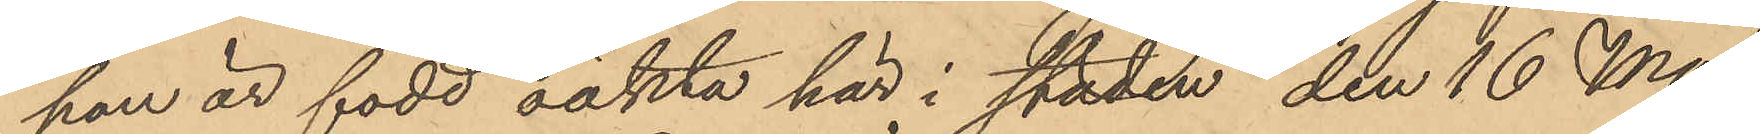han är född oäkta här i staden den 16 Maj
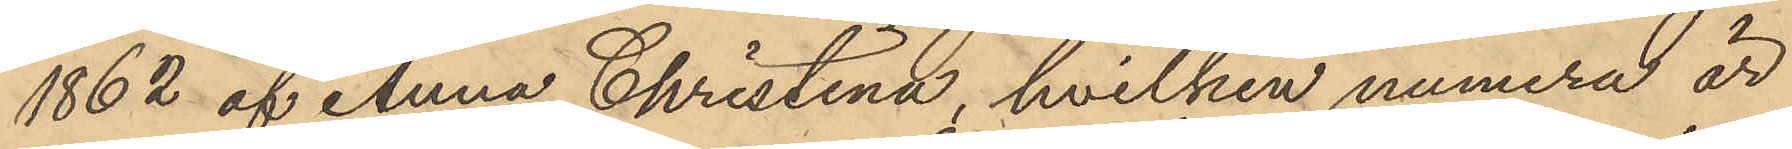1862 af Anna Christina, hvilken numera är
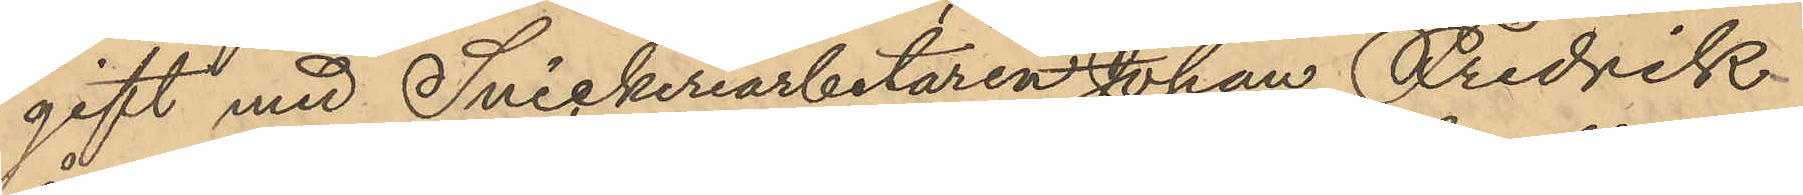gift med Snickeriarbetaren Johan Fredrik
